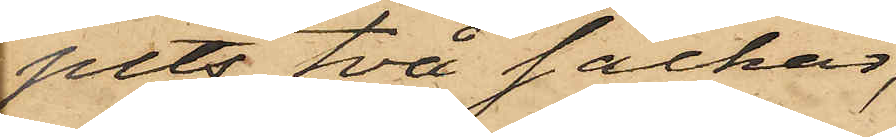pits två säckar,
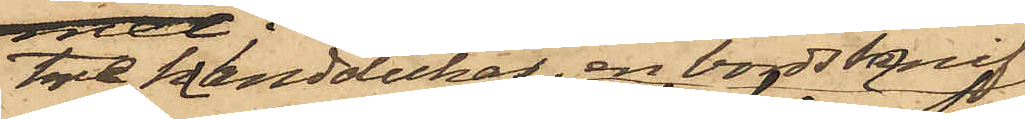tre handdukar, en bordsknif
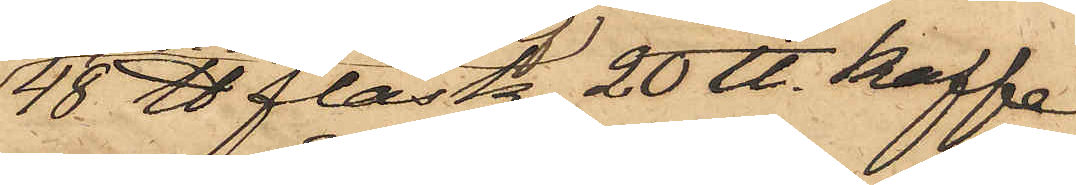48 ℔ fläsk, 20 ℔. kaffe
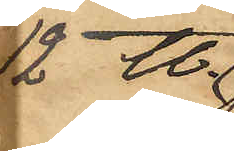12 ℔.
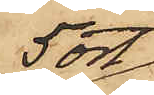5 ort
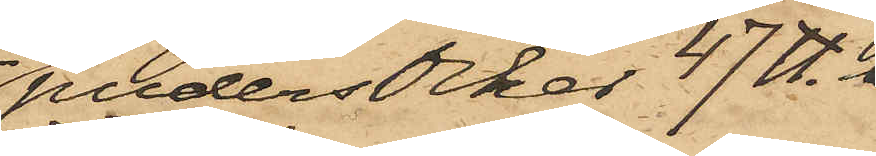pudersocker 47 ℔. 
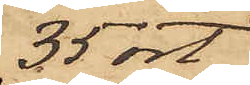35 ort
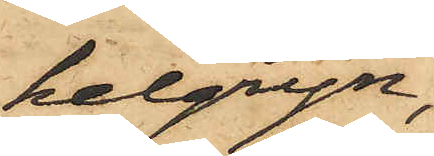helgryn,
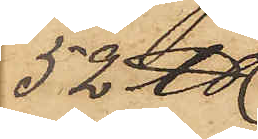52 ℔
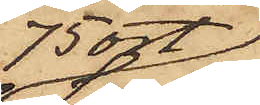75 ort
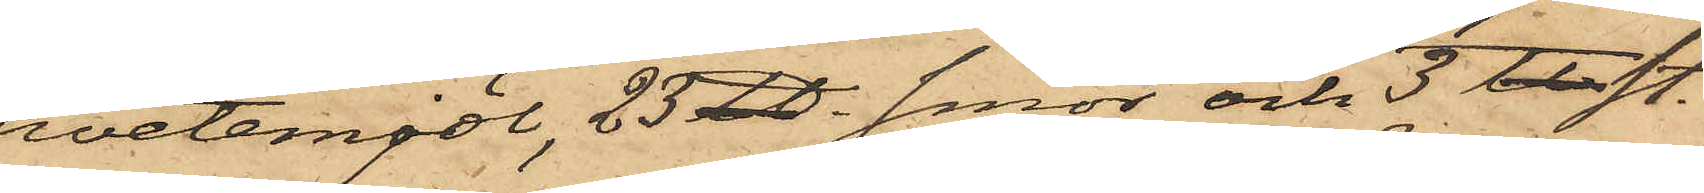hvetemjöl, 23 ℔. smör och 3 ta st.
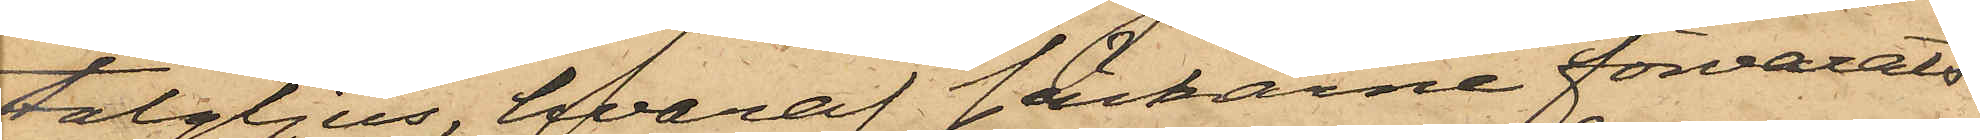talgljus, hvaraf säckarne förvarats
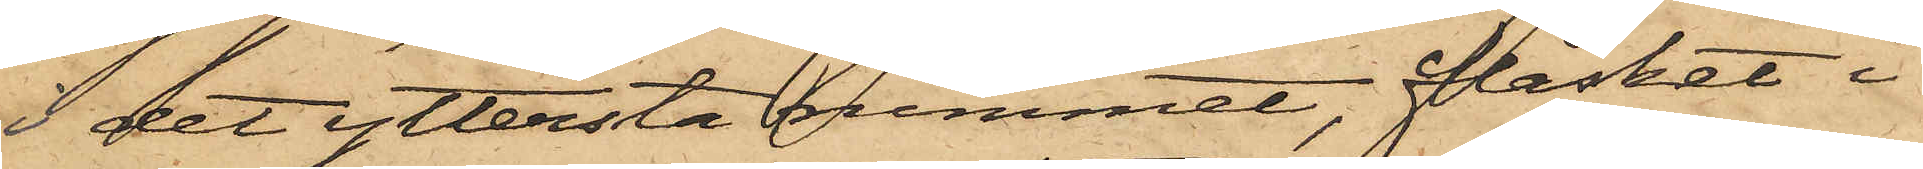i det yttersta rummet, fläsket i
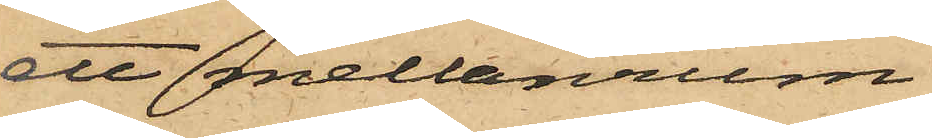ett mellanrum
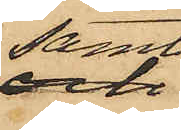samt
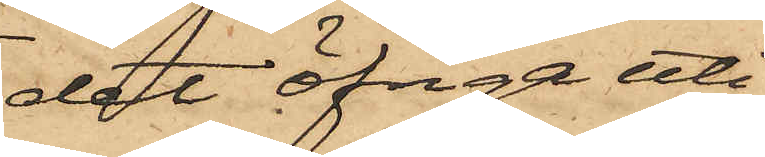det öfriga uti
